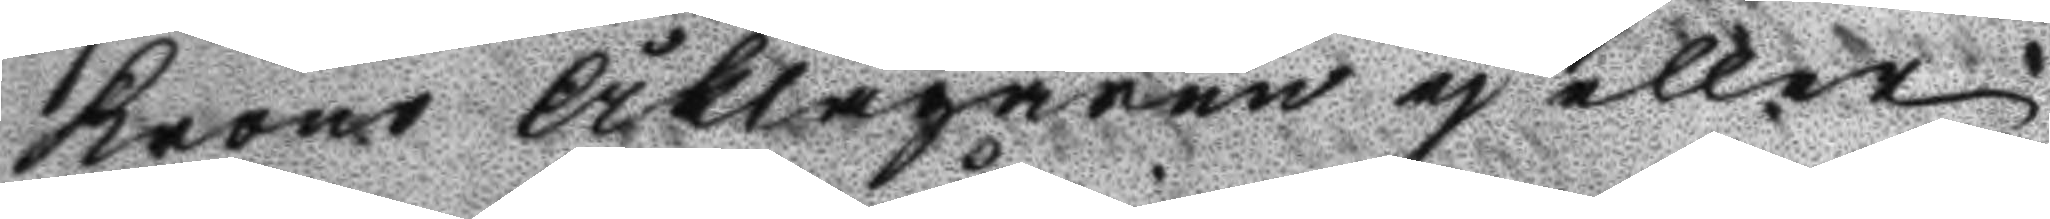Krono Åklagaren eh eller
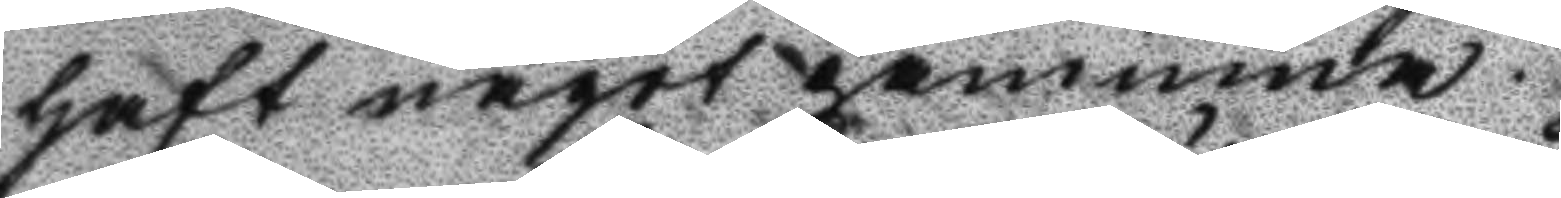haft något påminna.
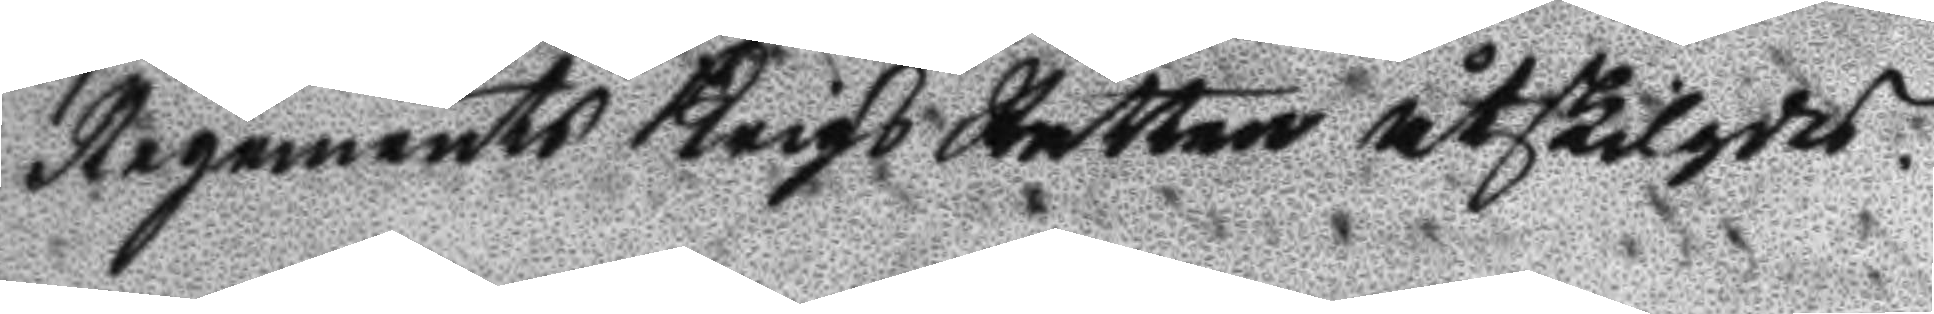Regemnets Krigs Rätten åtskilgdes.
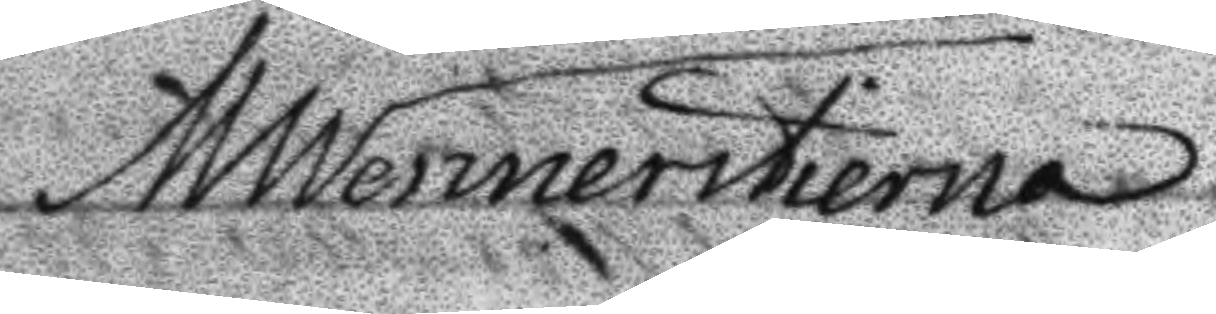MWennerstierna
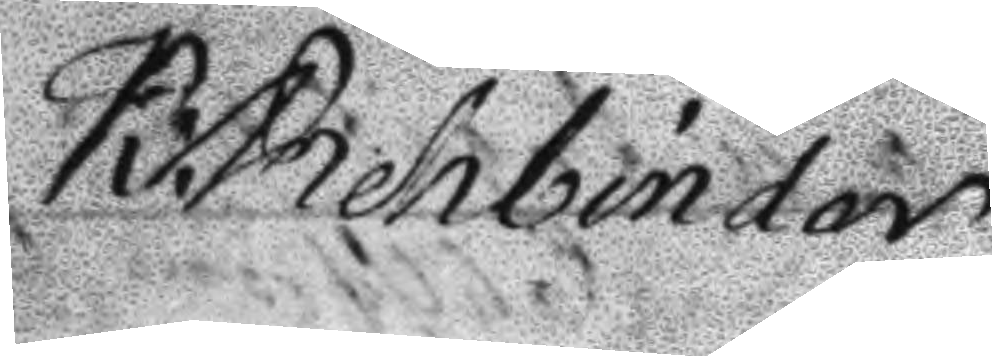K:Rehbinder
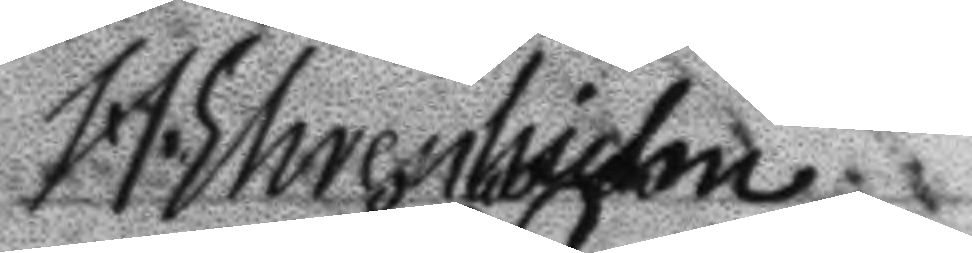H. Ehrenhielm
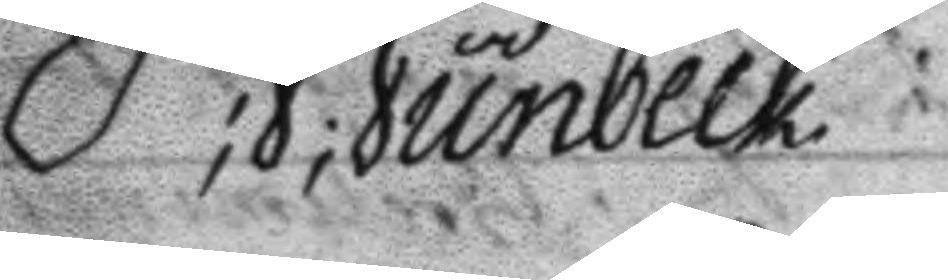P;S;Sunbeck
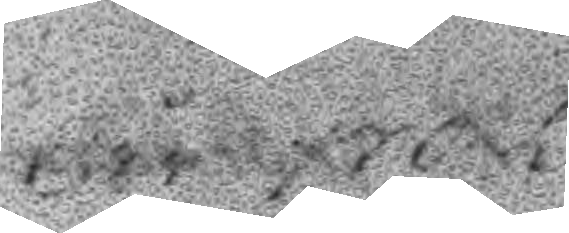år 1792
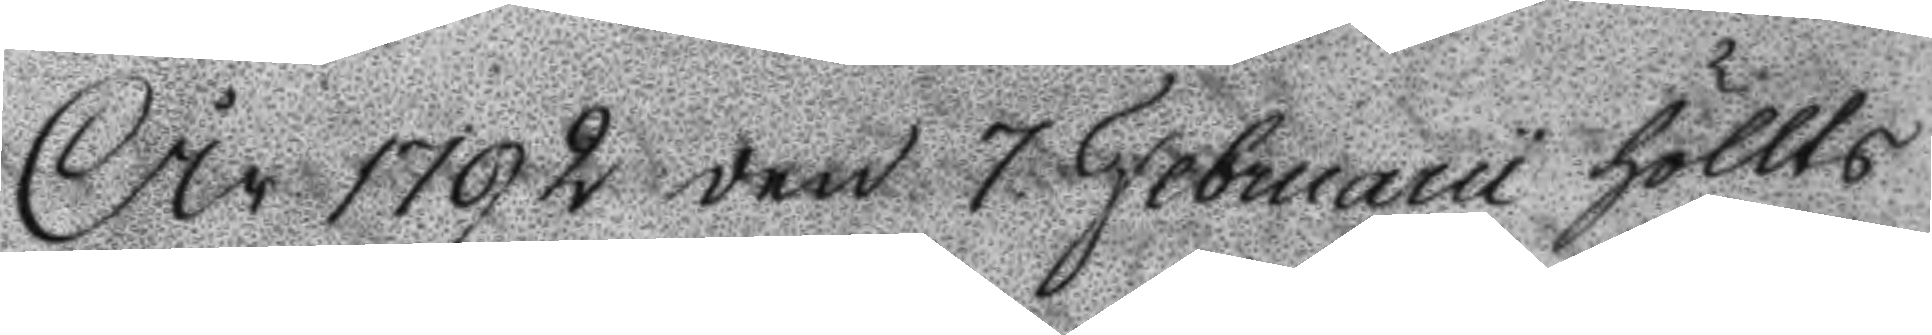År 1792 den 7 Februarii höllts
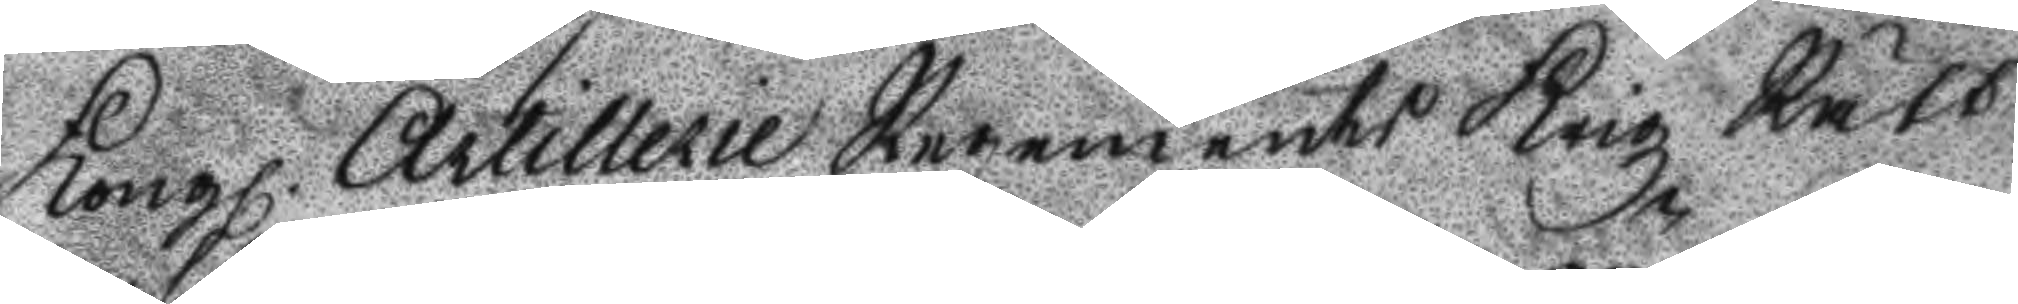Kongl. Artillerie Regements Krigz Rätt
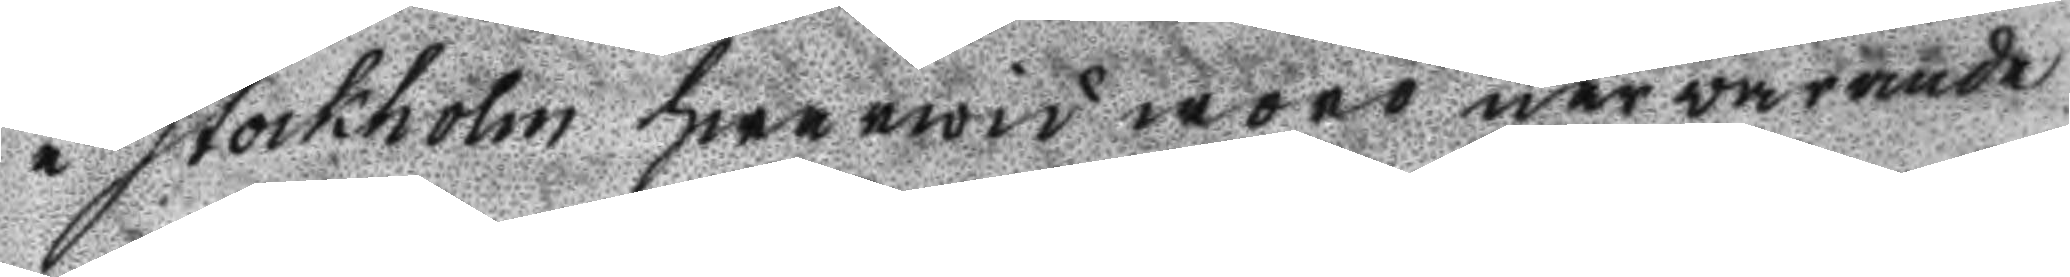i Stockholm hwarwid woro närwarande
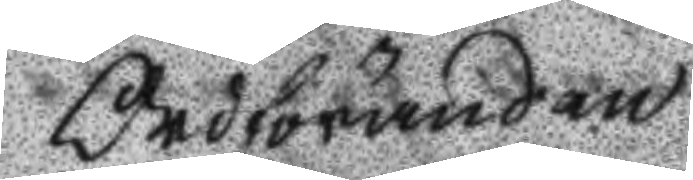Ordföranden
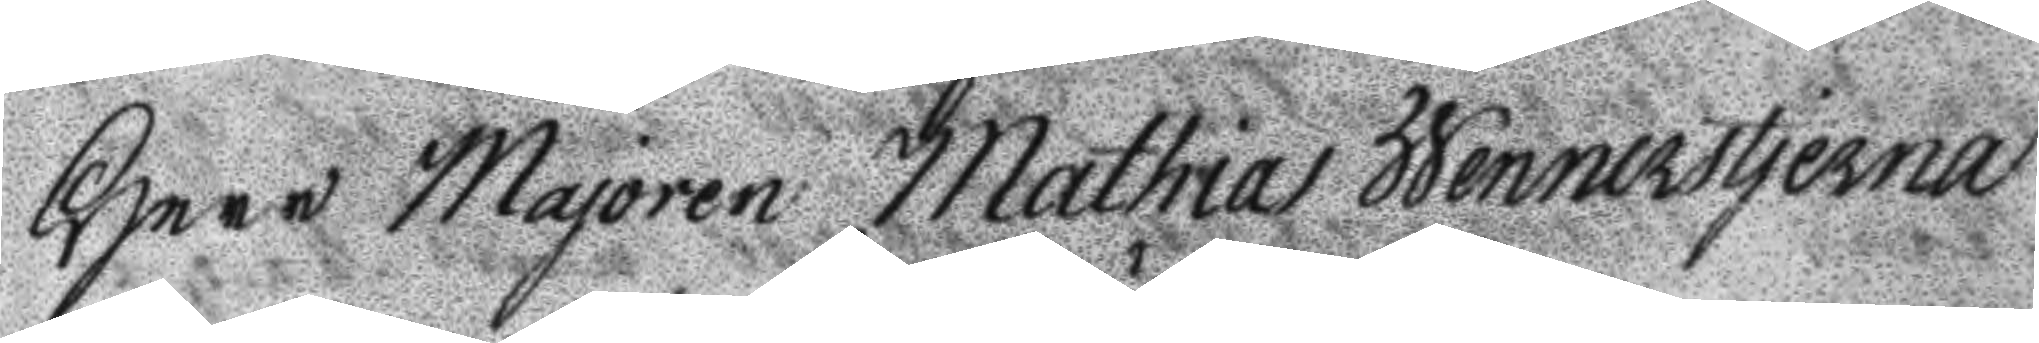Herr majoren Mathias Wennerstjerna
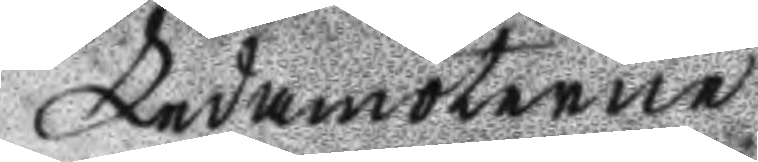Ledamöterne
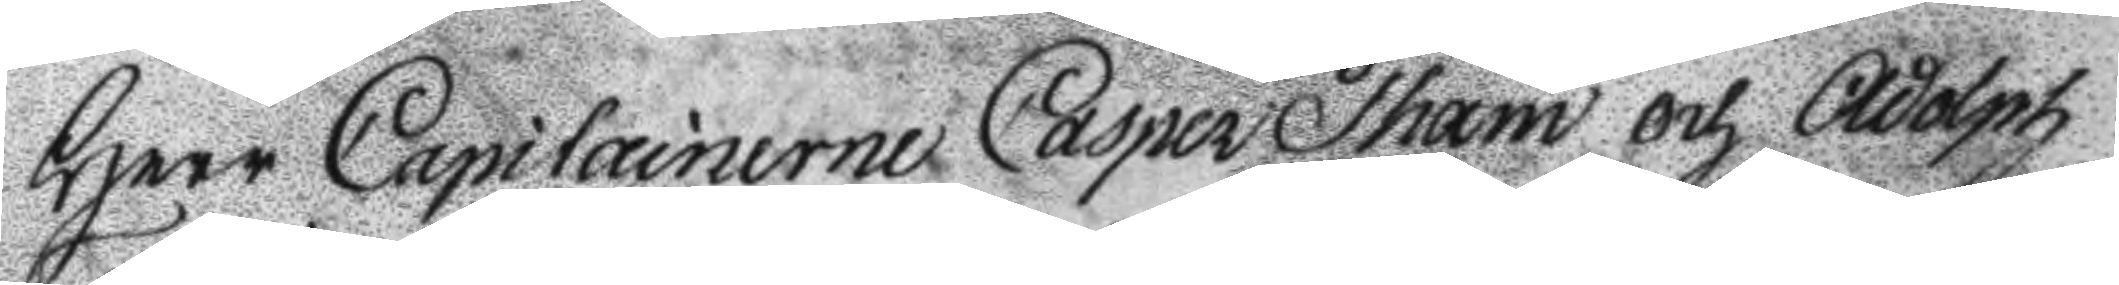Herr Capitainerne Casper Tham och Adolph
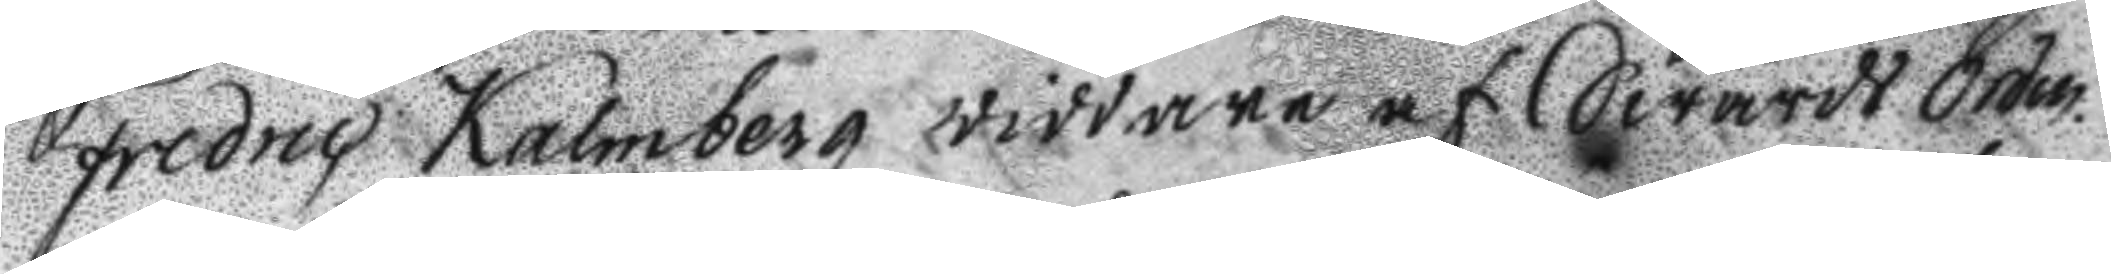Fredric Kalmberg riddare af Swärds Orden.
